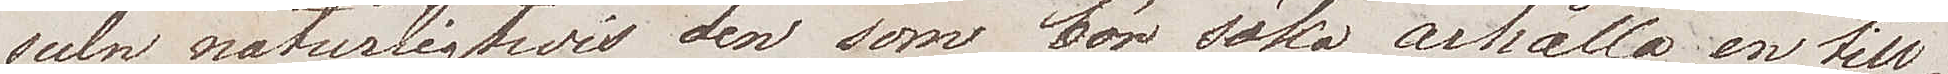suln naturligtvis den som bör söka ärhålla en till¬
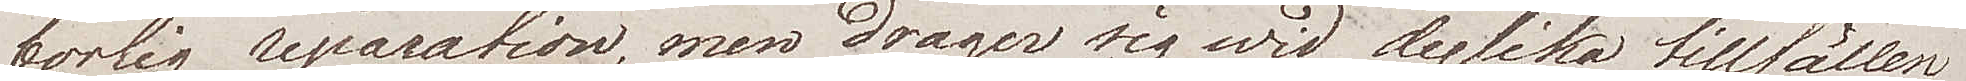börlig reparation, men drager sig wid dylika tillfällen
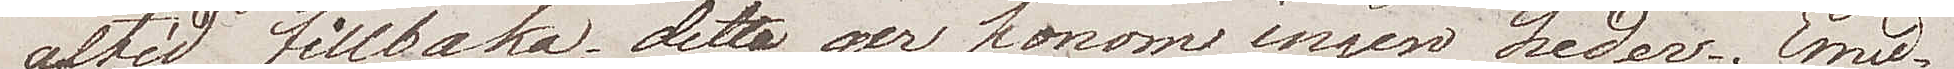altid tillbaka; detta ger honom ingen heder. Emed¬
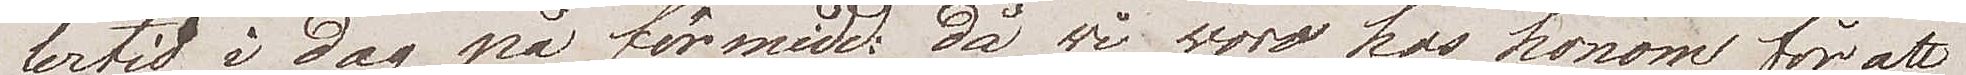lertid i dag på förmidd: då vi woro hos honom för att
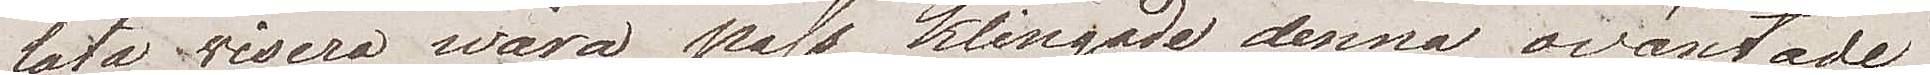låta visera wåra pass, klingade denna oväntade 
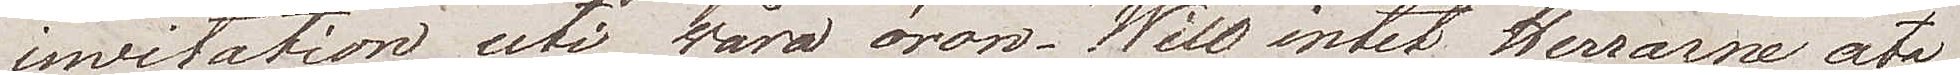invitation uti wåra  öron. "Will intet Herrarne äta
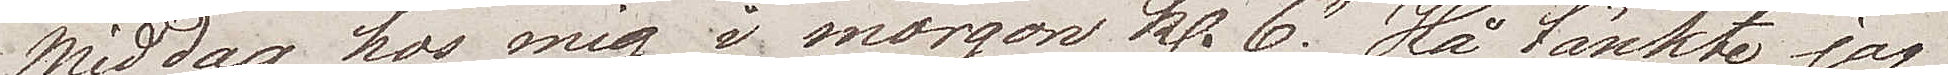middag hos mig i morgon Kl. 6". Hå tänkte jag
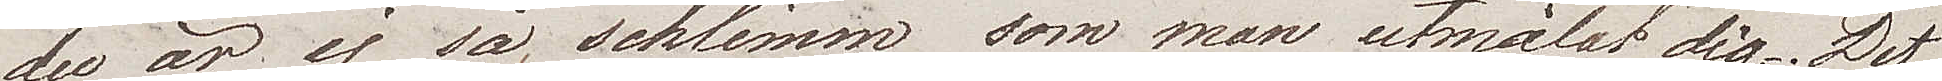du är ej så schlimm som man utmålat dig. Det 
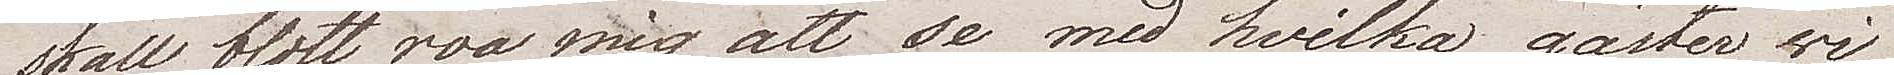skall blott roa mig att se med hvilka gäster wi
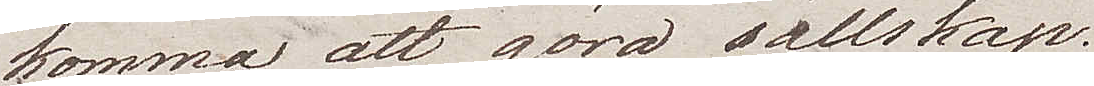komma att göra sällskap.
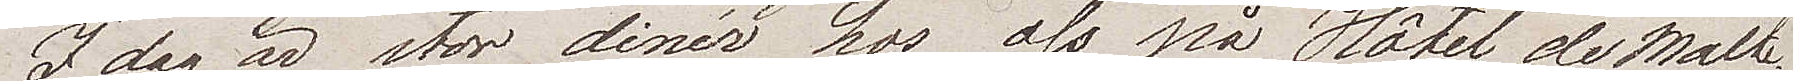Idag är stor dinér hos oss på Hôtel de Malte.
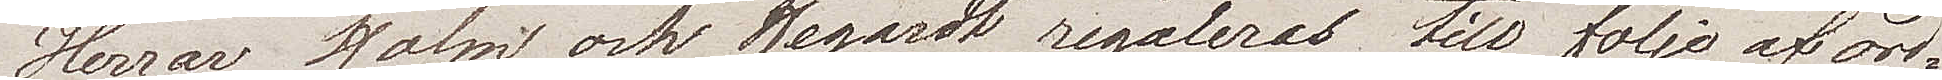Herrar Holm och Hegardt regaleras till följe af ord¬
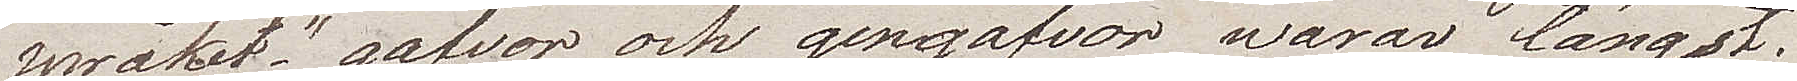språket "gåfvor och gengåfvor warar längst".
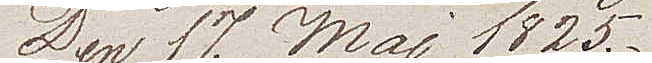Den 17 Maj 1825.
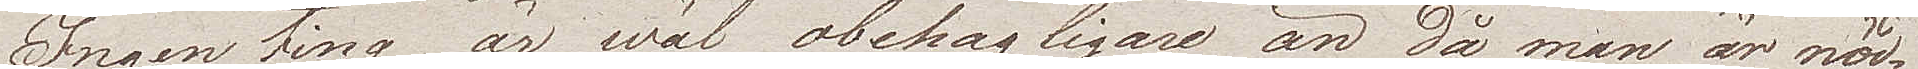Ingenting är wäl obehagligare än då man är nöd¬
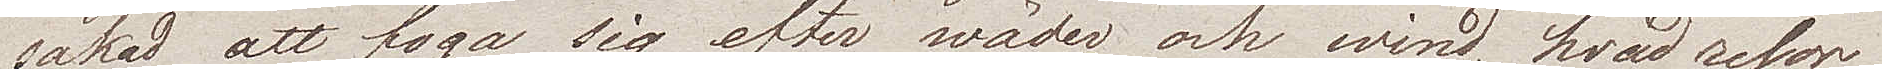sakad att foga sig efter wäder och wind, hvad resor
